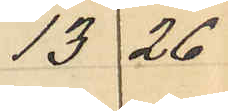13 26
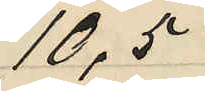10,5
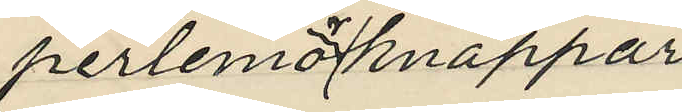perlemoknappar
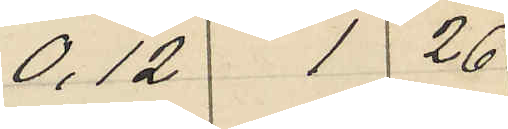0,12 1 26
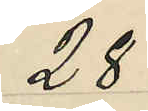28
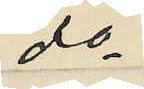do
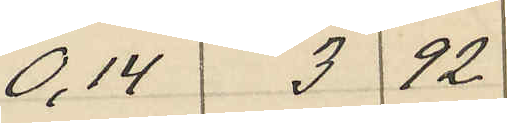0,14 3 92
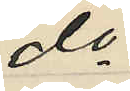do
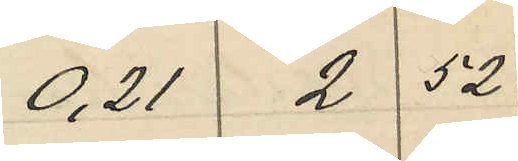0,21 2 52
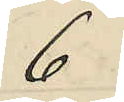6
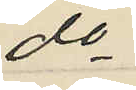do
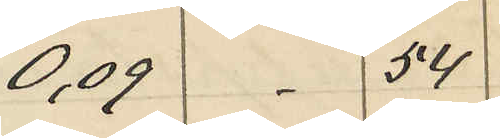0,09 54
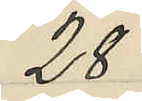28
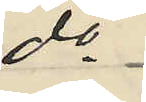do
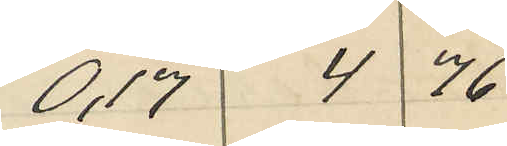0,17 4 76
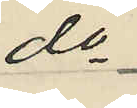do
